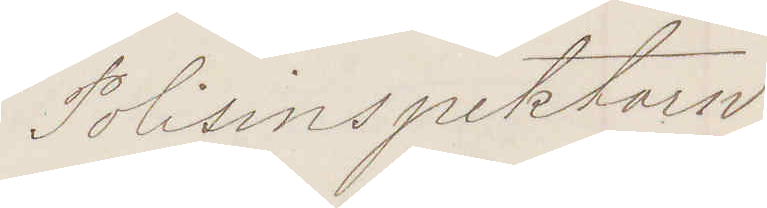Polisinspektorn
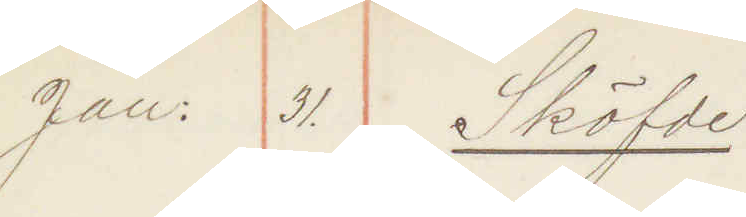Jan. 31. Sköfde
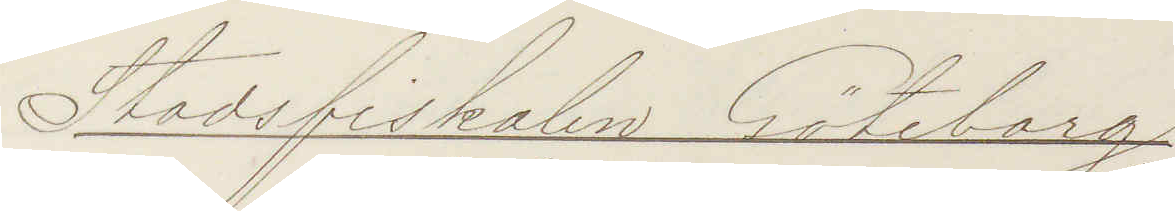Stadsfiskalen Göteborg
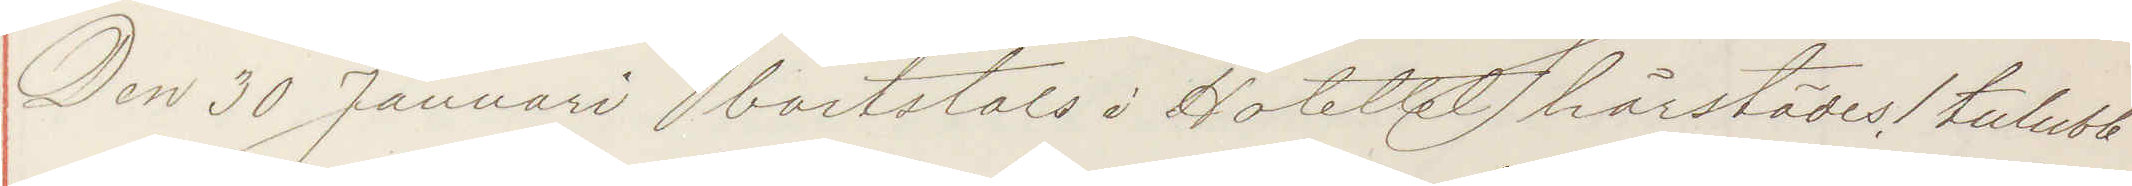Den 30 Januari bortstals i Hotellet härstädes 1 tulubb
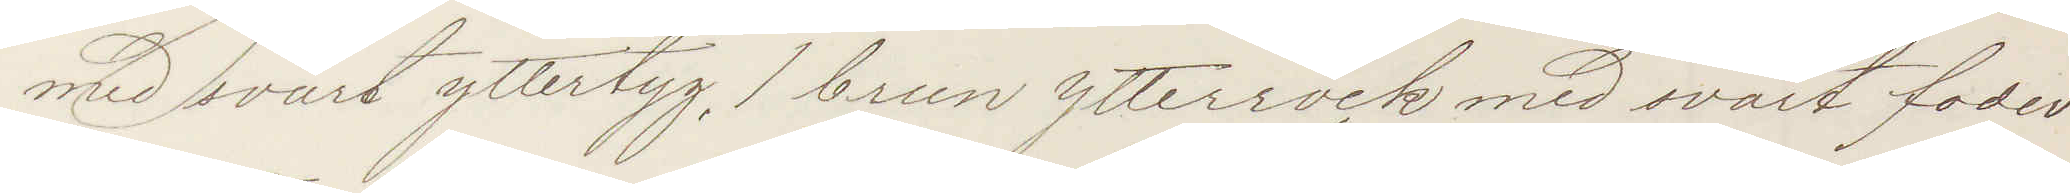med svart yllertyg, 1 brun ytterrock med svart foder
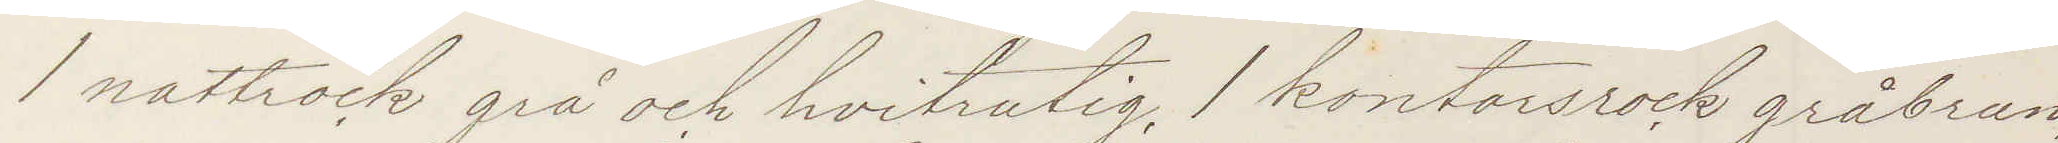1 nattrock grå och hvitrandig, 1 kontorsrock gråbrun
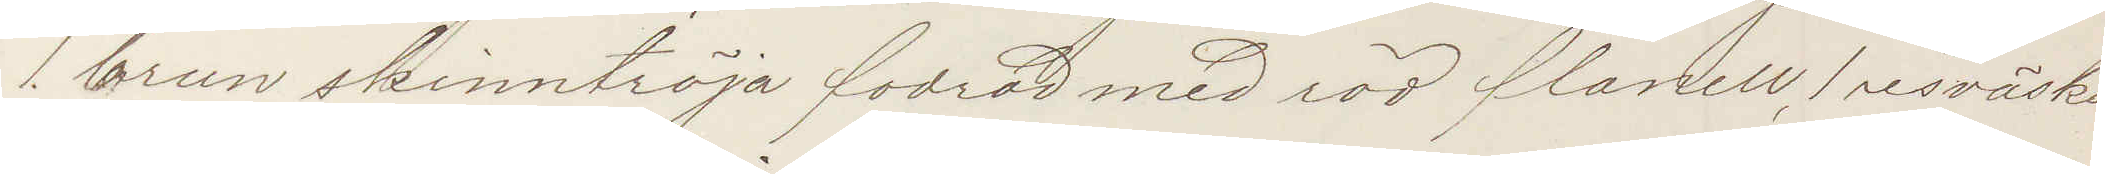1 brun skinntröja fodrad med röd flanell 1 resväska
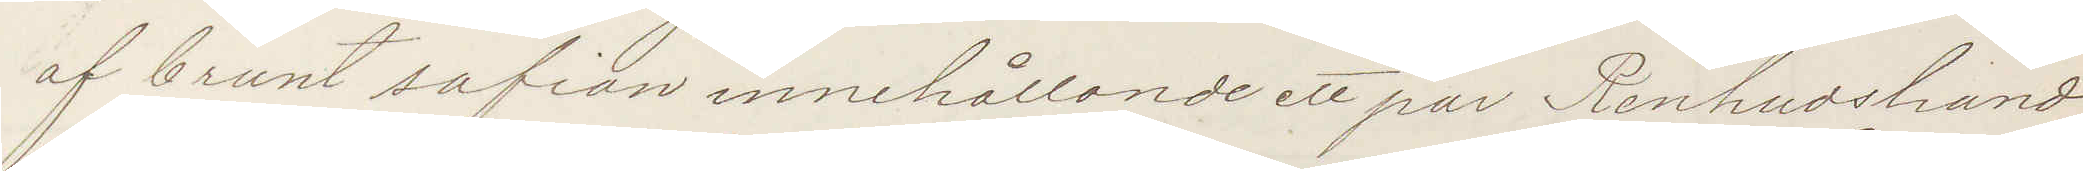af brunt safian innehållande ett par Renhudshand¬
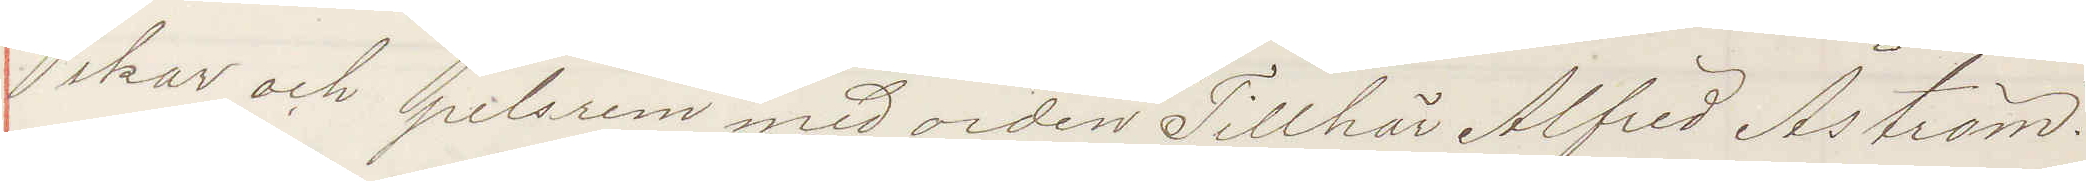skar och pelsrem med orden "Tillhör Alfred Åström".
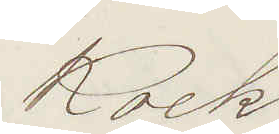Kock
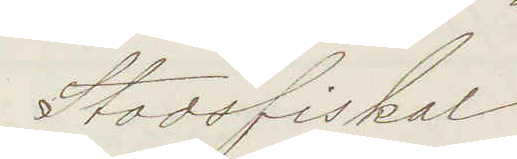Stadsfiskal
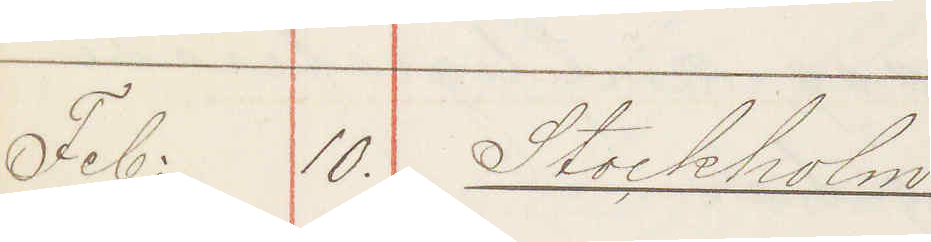Feb: 10. Stockholm
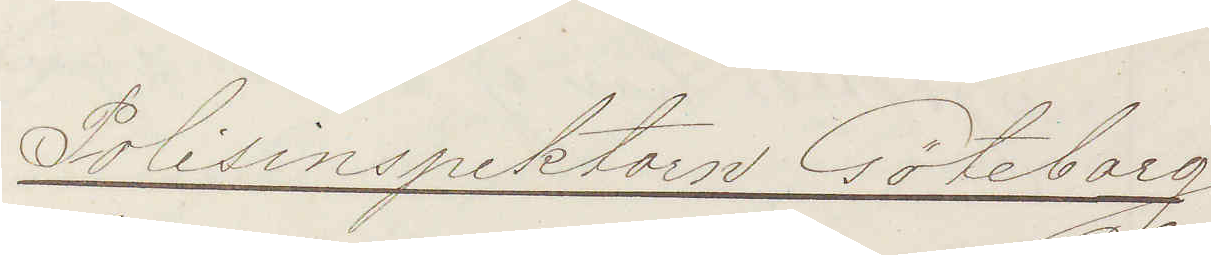Polisinspektorn Göteborg
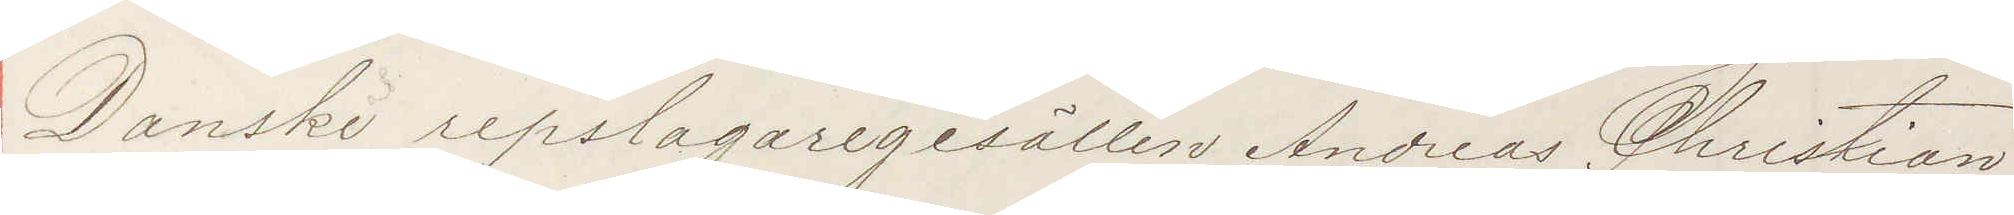Danske repslagaregesällen Andreas Christian
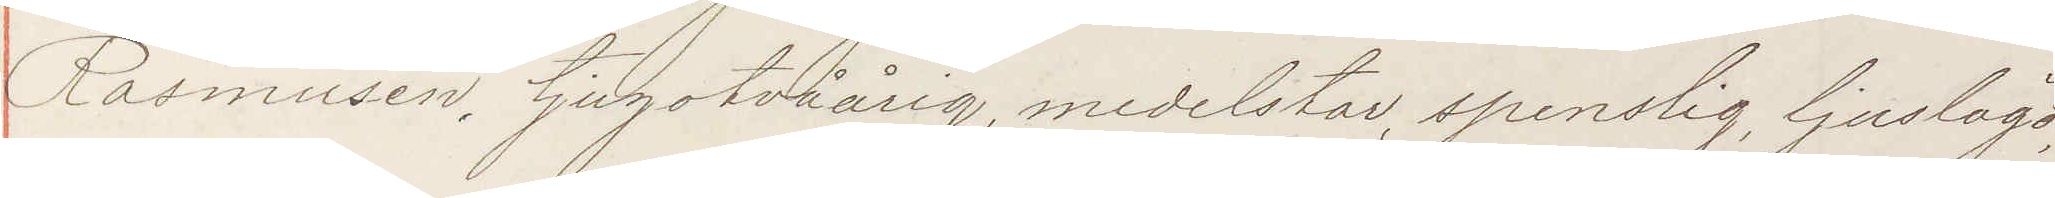Rasmusen, tjugotvåårig, medelstor, spenslig, ljuslagd,
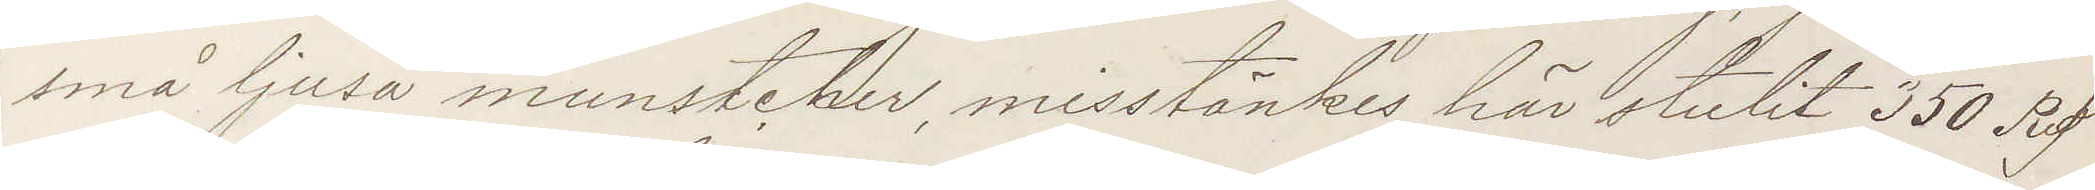små ljusa munstcher, misstänkes här stulit 350 Rd
